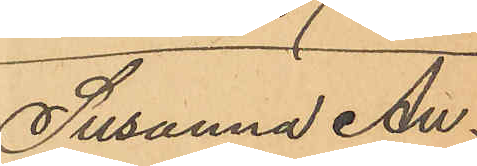Susanna An¬
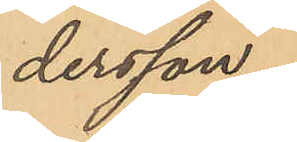dersson.
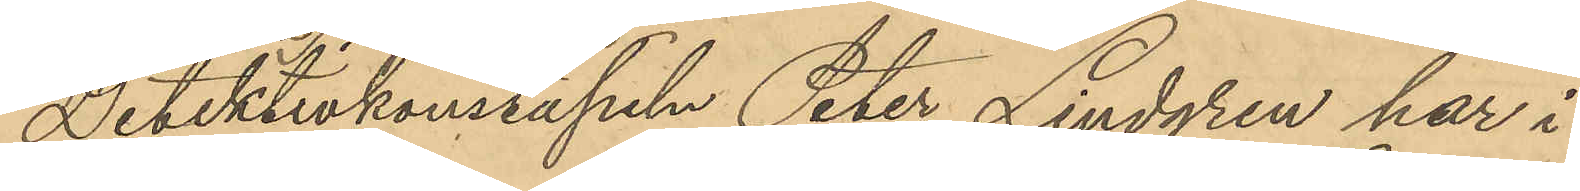Detektivkonstapeln Peter Lindgren har i
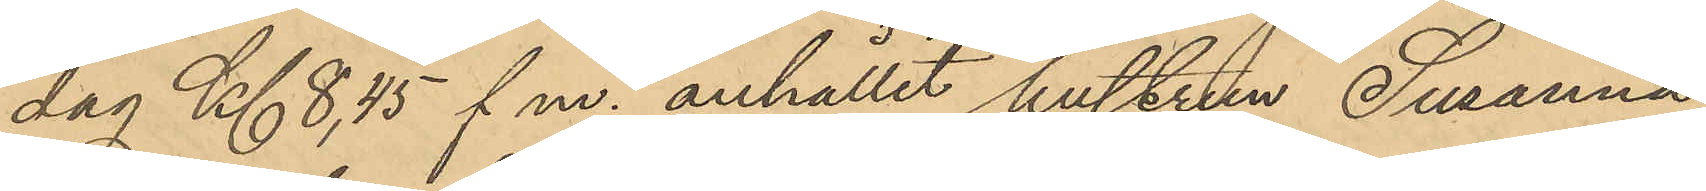dag Kl. 8,45 f.m. anhållit hustrun Susanna
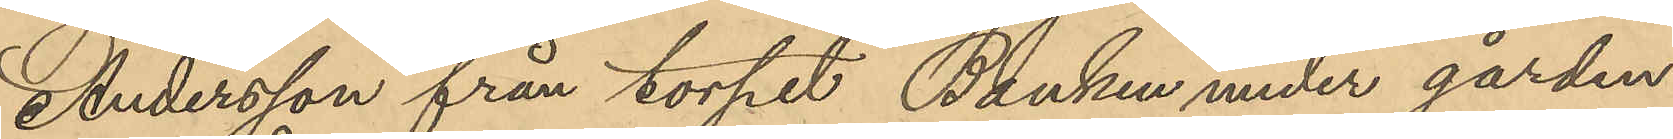Andersson från torpet Banken under gården
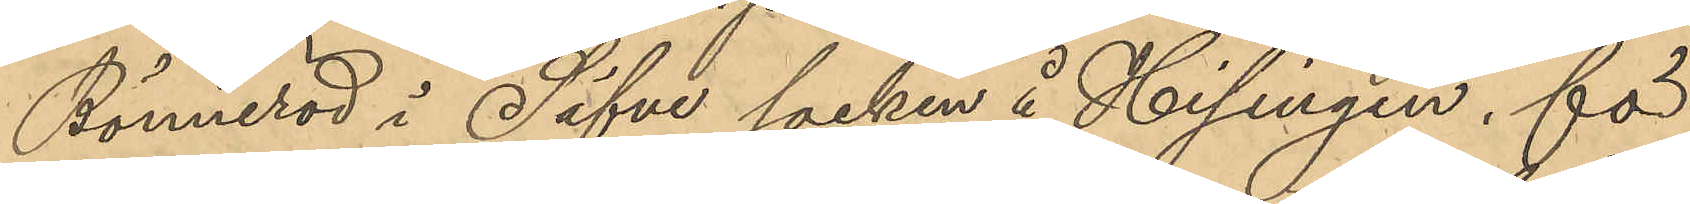Bönneröd i Säfve socken å Hisingen, för
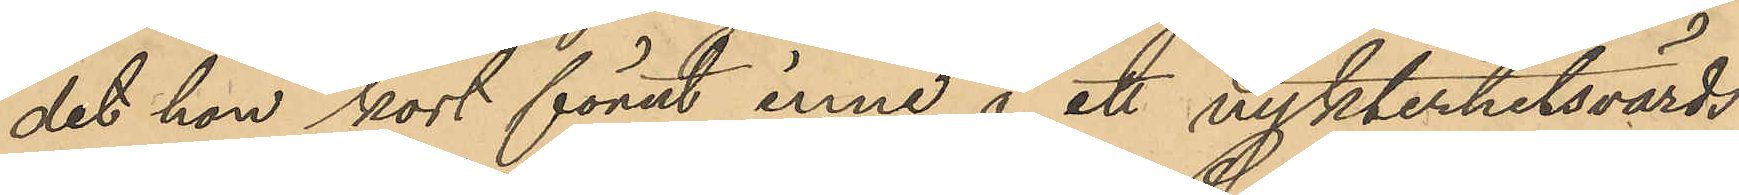det hon kort förut inne å ett nykterhetsvärds¬
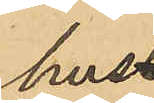hus
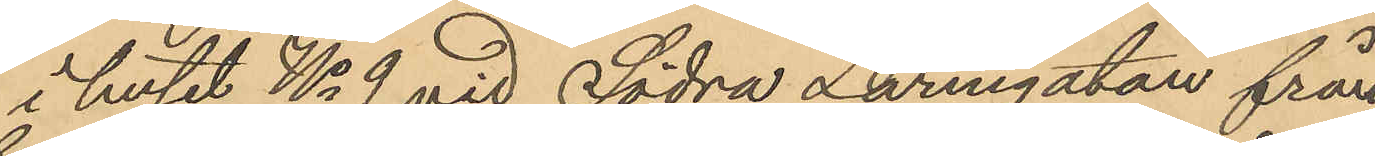i huset No 9 vid Södra Larmgatan från
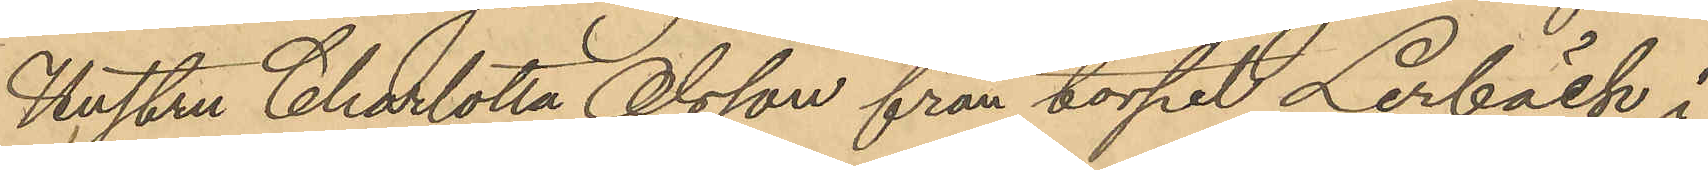Hustru Charlotta Olsson från torpet Lerbäck i
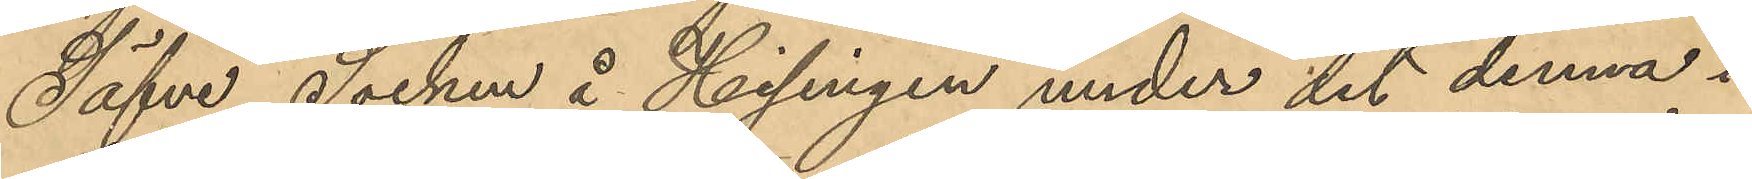Säfve Socken å Hisingen under det denna i
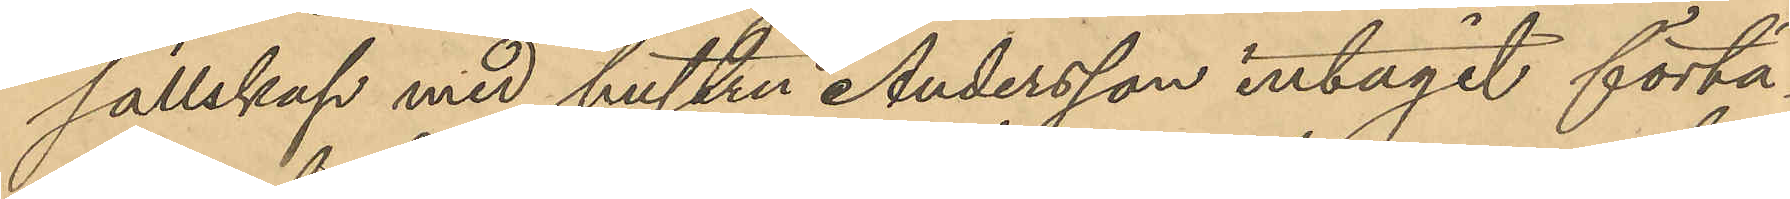sällskap med hustru Andersson intagit förtä¬
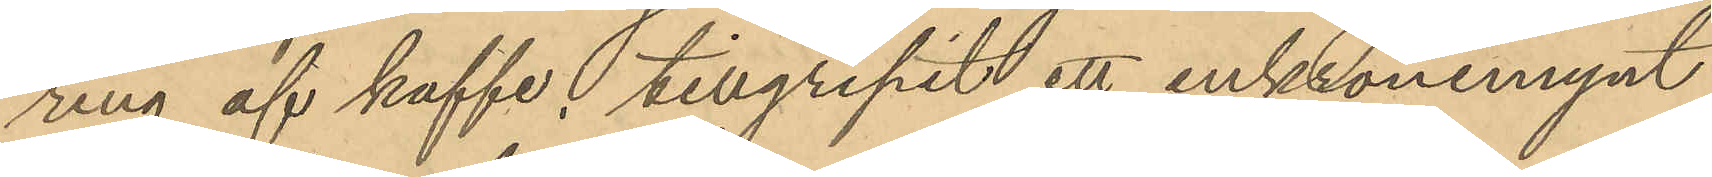ring af kaffe, tillgripit ett enkronomynt,
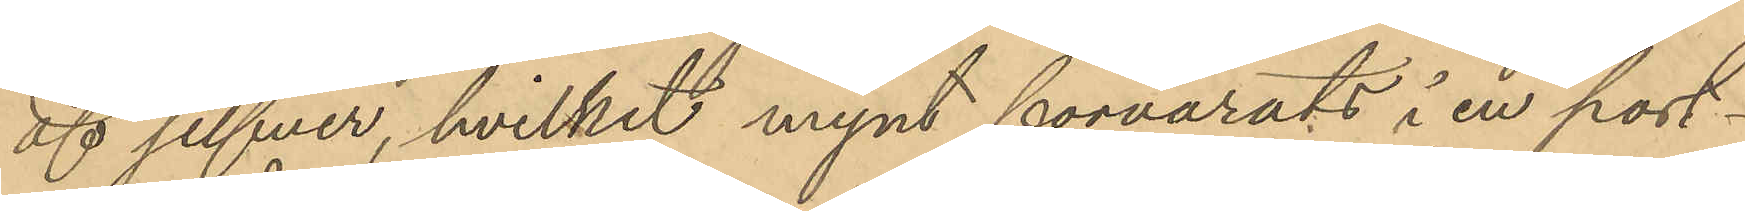af silfver, hvilket mynt förvarats i en port¬
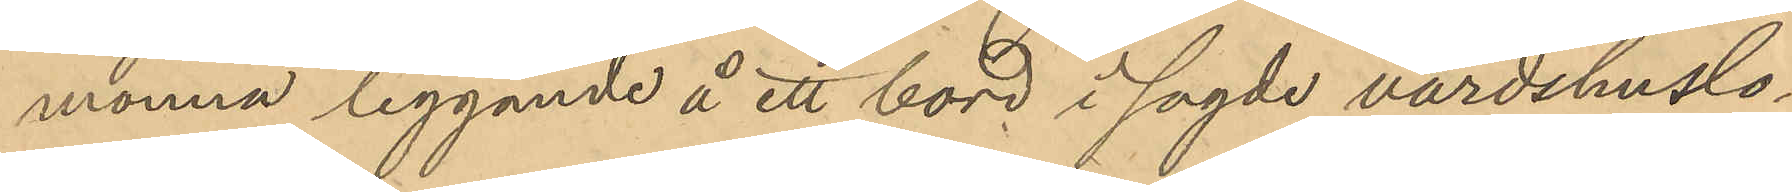monnä liggande å ett bord i sagde värdshuslo¬
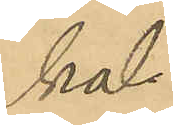kal.
